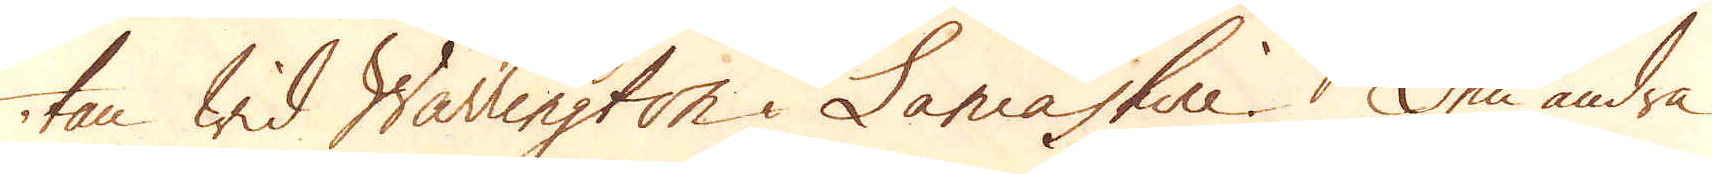tan wid Warrington i Lancashire. Den andra
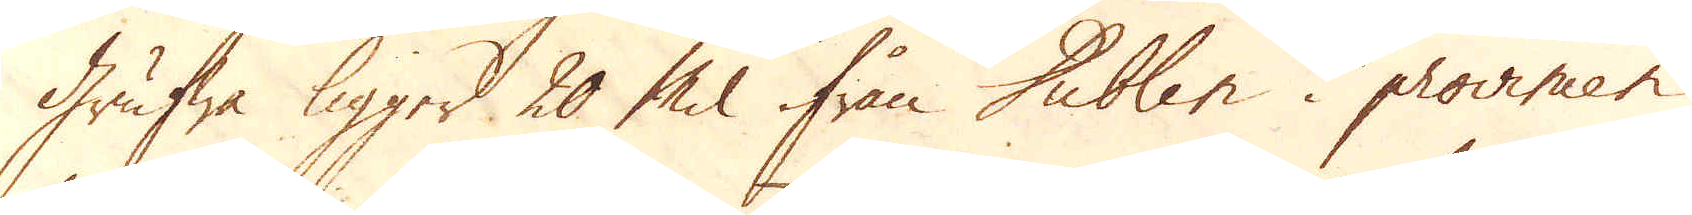grufwa ligger 20 Mil ifrån Dublin i provincen
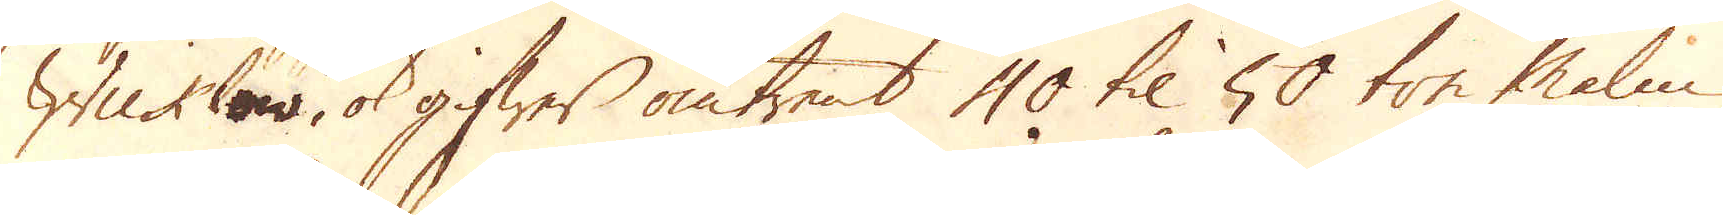Wickles, ok gifwer omtrent 40 til 50 ton Malm
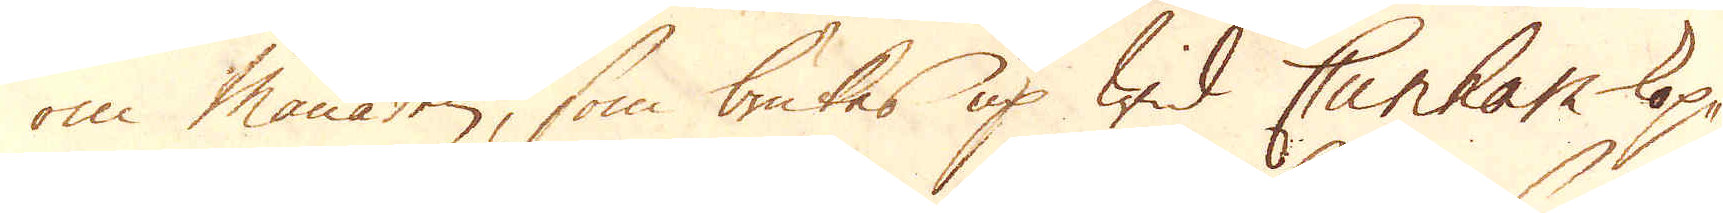om månaden, som brukes up wid Cunham kop-
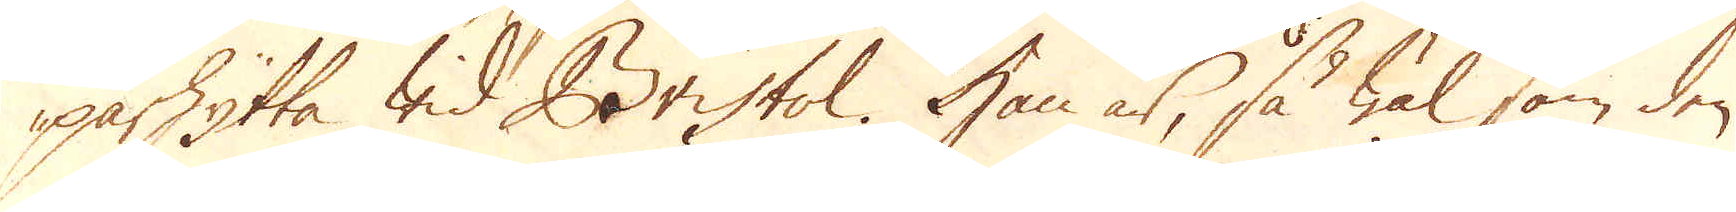parhytta wid Bristol. Han är, så wäl som den
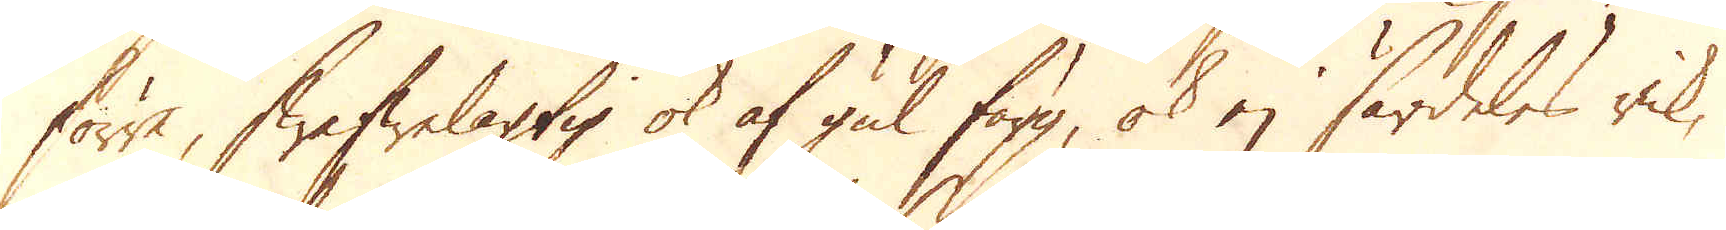förre, swafwelagtig ok af gul färg, ok ej särdeles rik,
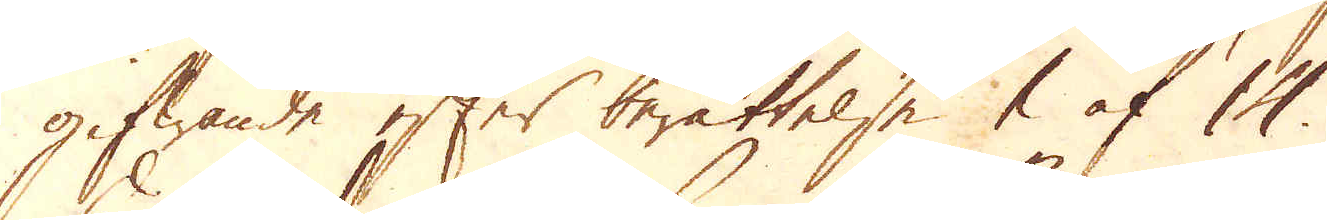gifwande efter berättelse 1 af 14.
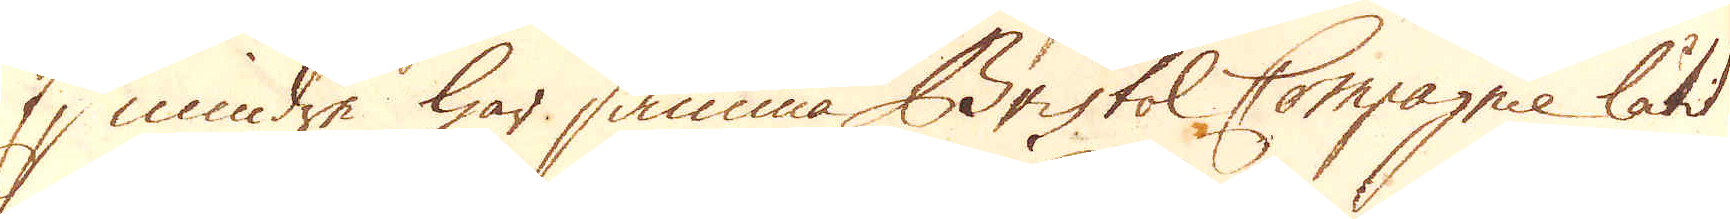En mindre har samma Bristol Compagnie låtit
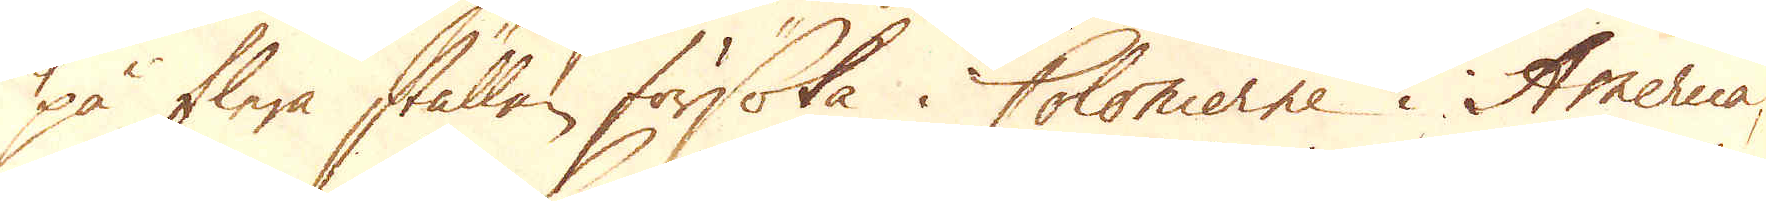på flera ställen försöka i Colonierne i America,
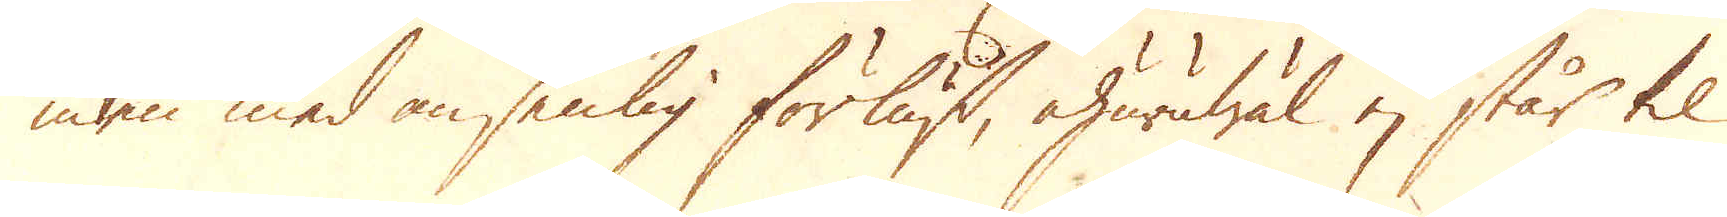men med ansenlig förlust, ehuruwäl ej står til
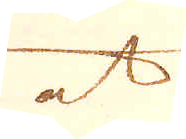at
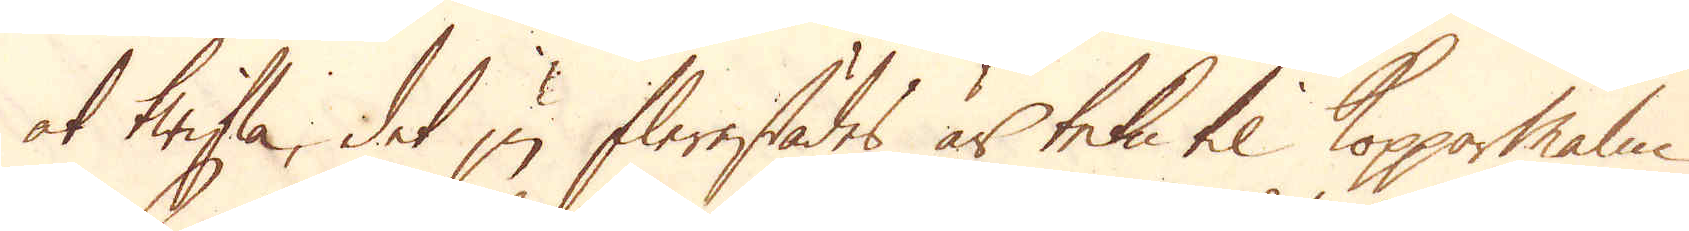at twifla, det ju flerestädes är tekn til Kopparmalm
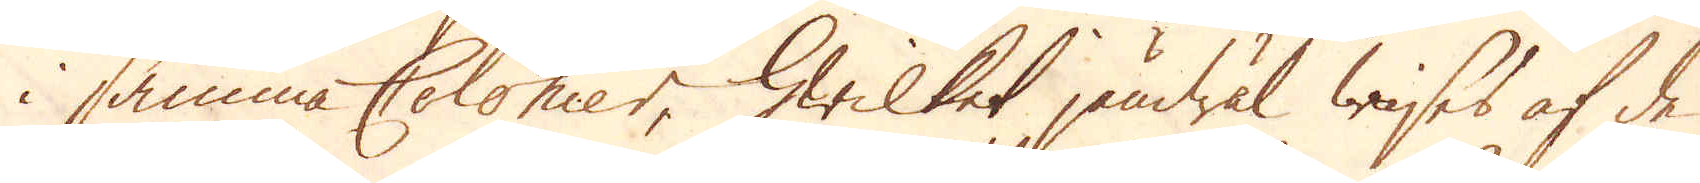i samma Colonier, hwilket jämwäl wises af de
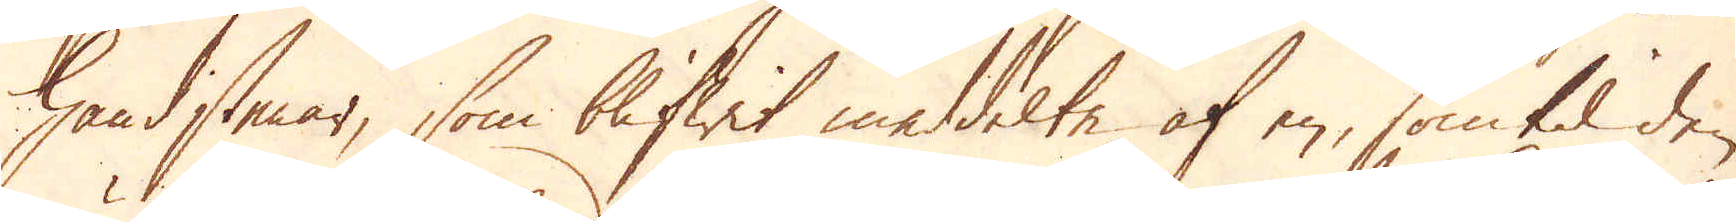handstenar, som blifwit meddelte af en, som til den
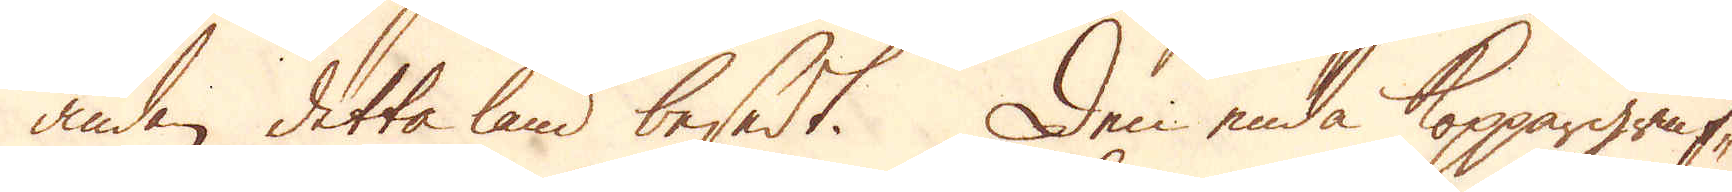ändan detta land besedt. Den enda koppargruf-
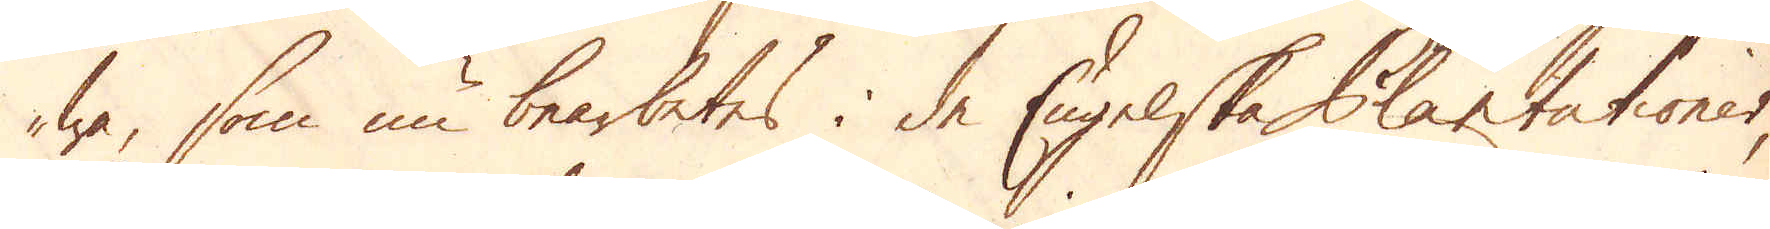wa, som nu bearbetes i de Engelske Plantationer,
